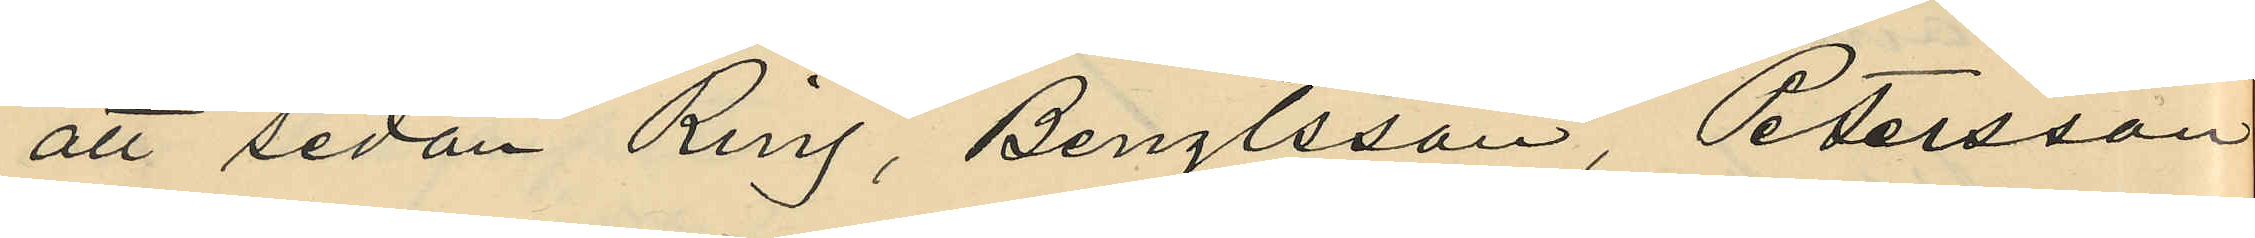att sedan Ring, Bengtsson, Petersson
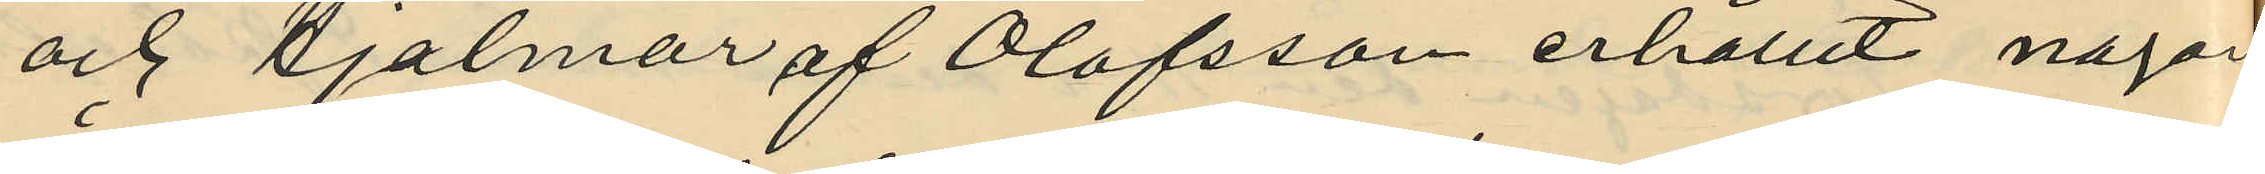och Hjalmar af Olofsson erhållit någon
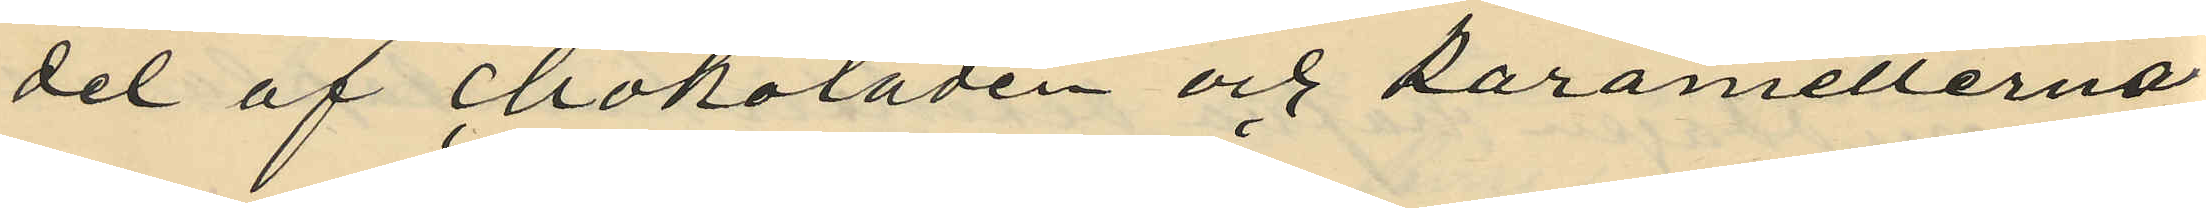del af chokoladen och karamellerna,
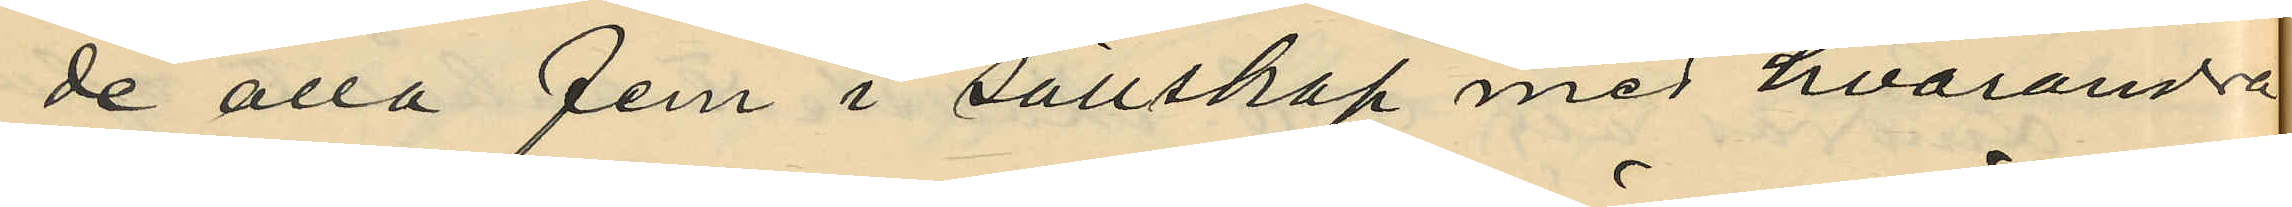de alla fem i sällskap med hvarandra
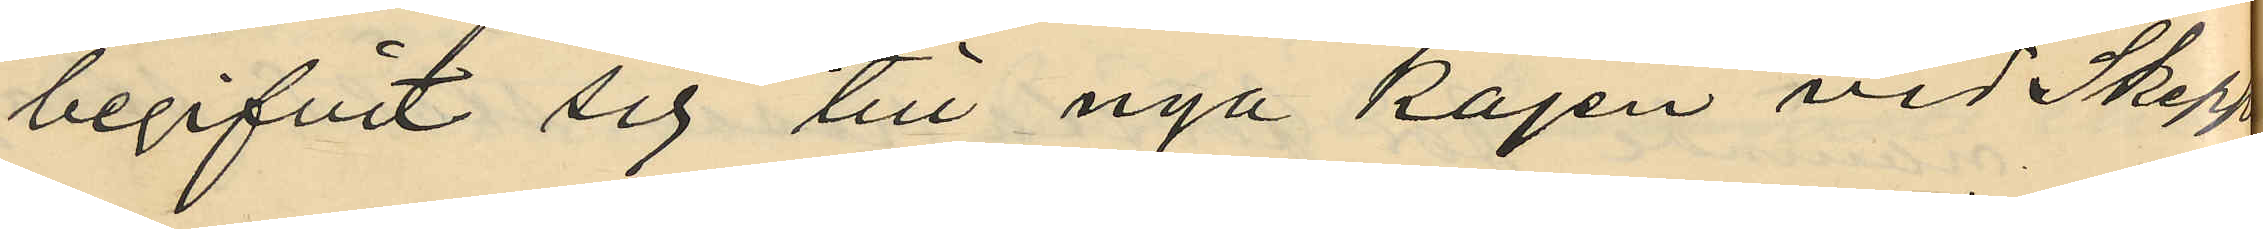begifvit sig till nya kajen vid Skepps¬
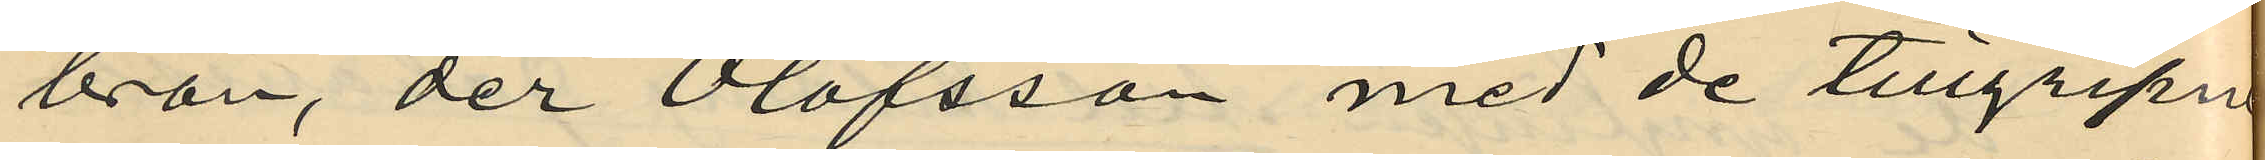bron, der Olofsson med de tillgripne
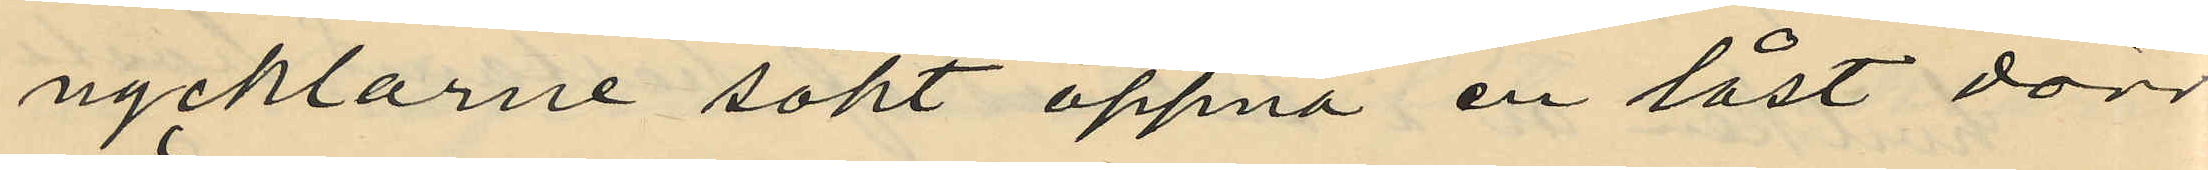nycklarne sökt öppna en låst dörr
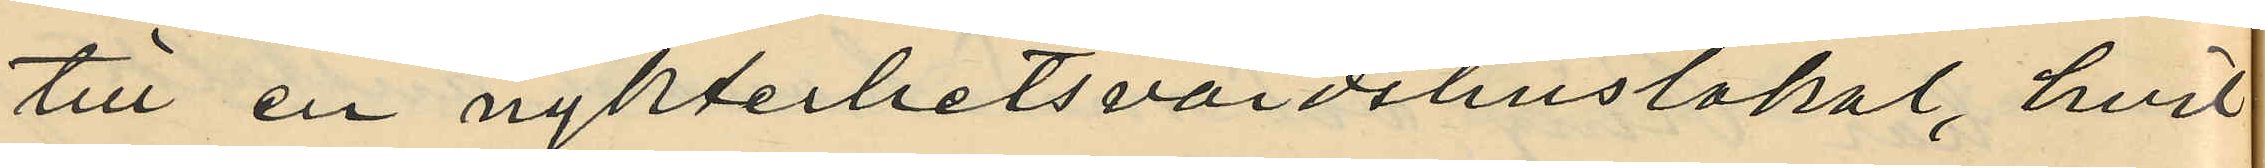till en nykterhetsvärdshuslokal, hvil¬
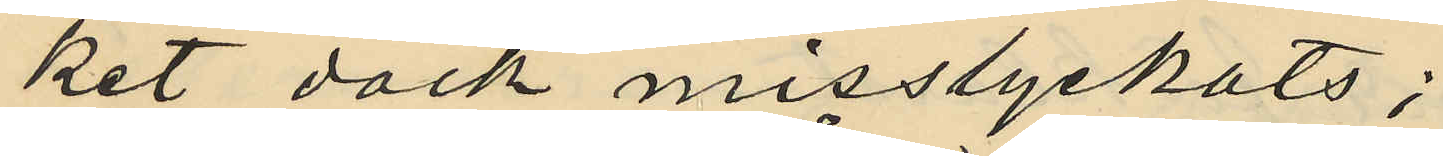ket dock misstyckats;
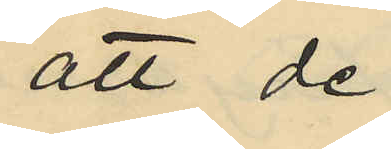att de
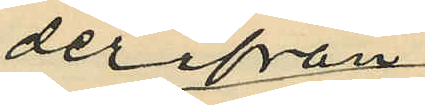derifrån
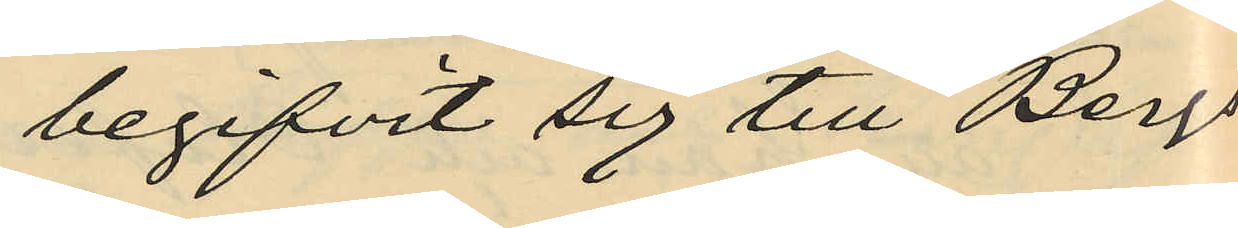begifvit sig till Bergs¬
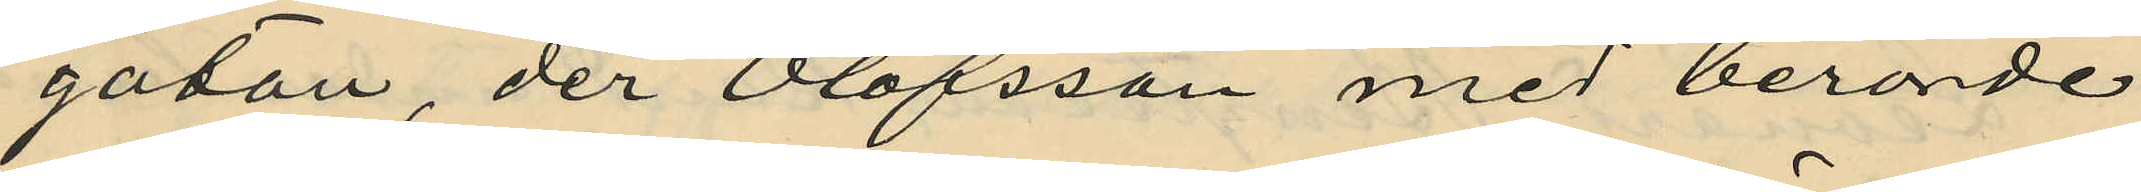gatan, der Olofsson med berörde
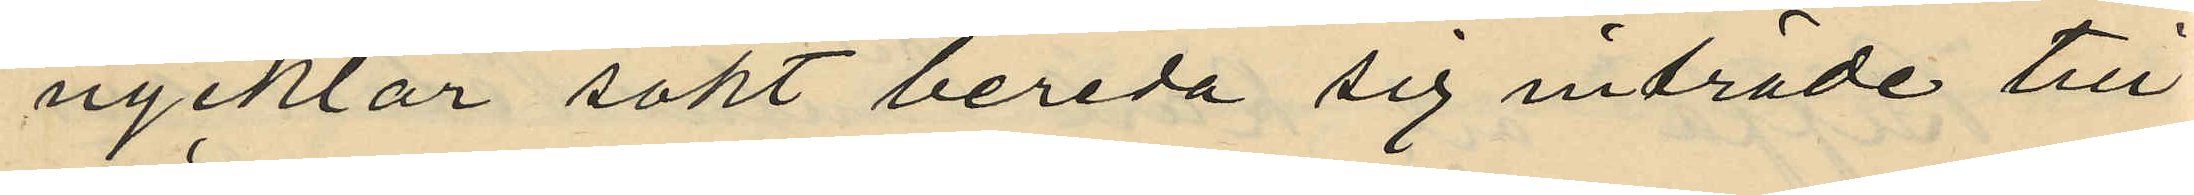nycklar sökt bereda sig inträde till
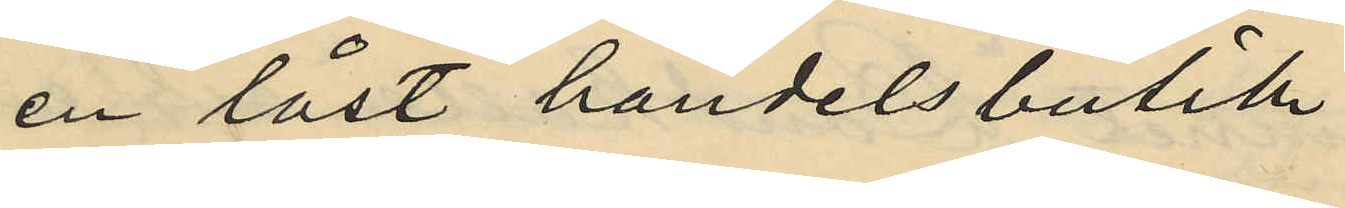en låst handelsbutik;
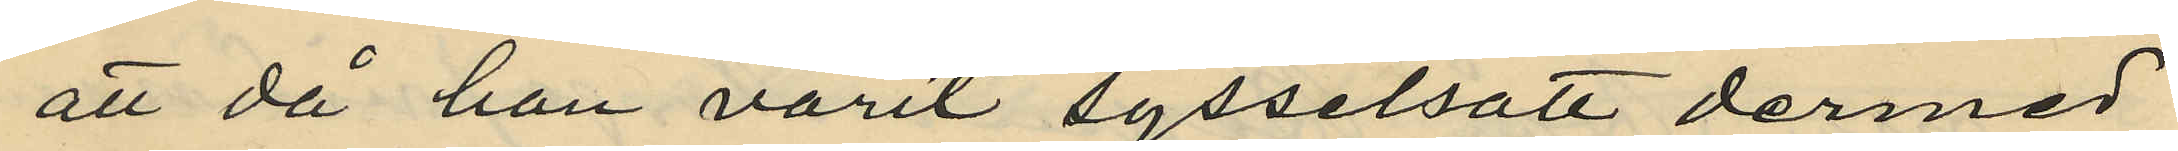att då han varit sysselsatt dermed
